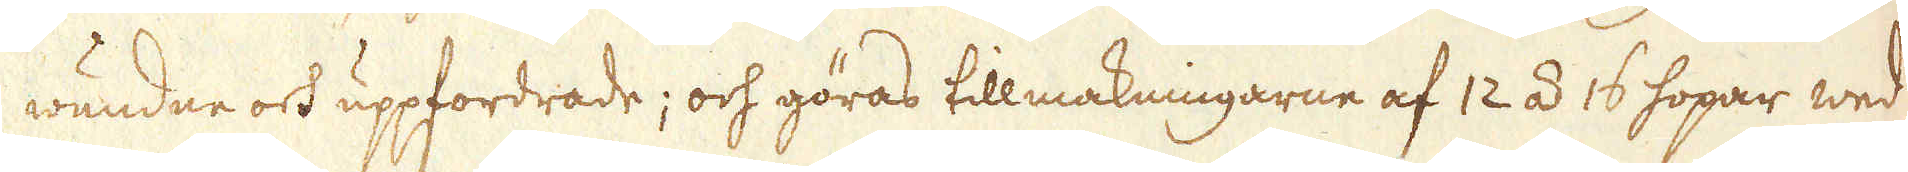wundne och uppfordrade; och göras tillmakningarne af 12 á 16 hopar wed
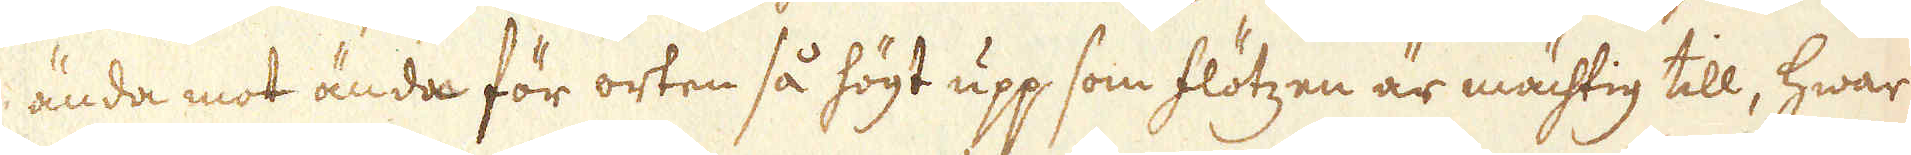ända mot ända för orten så högt upp som flötzen är mächtig till, hwar
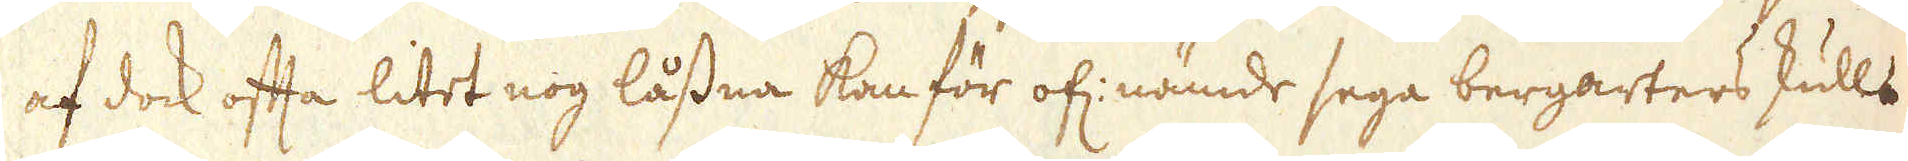af dock ofta litet nog låssna kan för of: nämde sega bergarters skull.
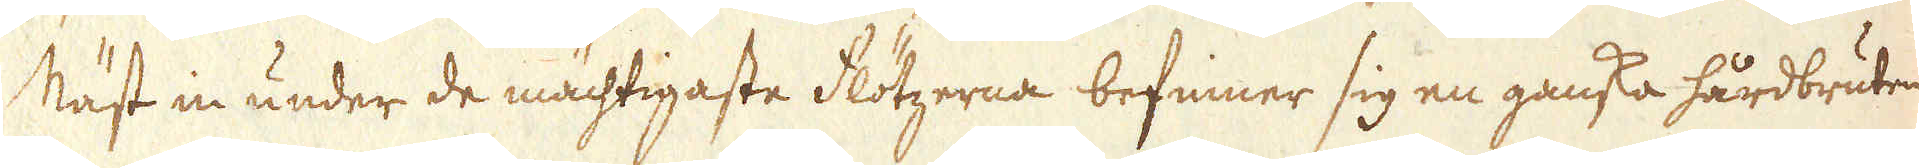Näst in under de mächtigaste flötzerna befinner sig en ganska hårdbruten
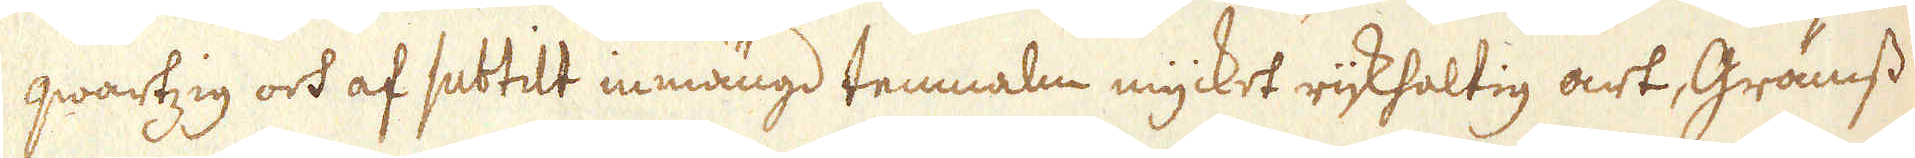qwartzig och af subtilt inmängd tenmalm mycket rijkhaltig art, Grämss
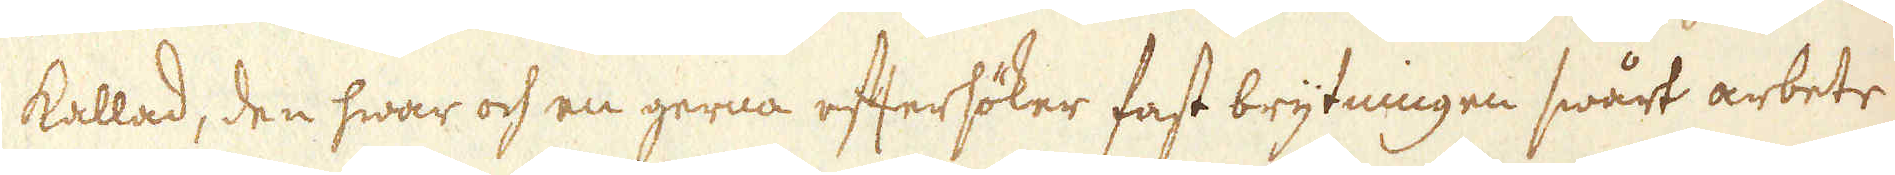kallad, den hwar och en gerna eftersöker fast brytningen swårt arbete
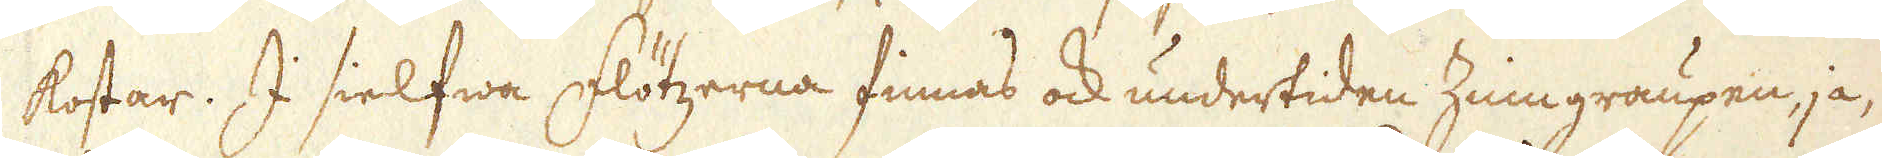kostar. I sielfwa flötzerna finnas ock undertiden Zinngraupen, ja,
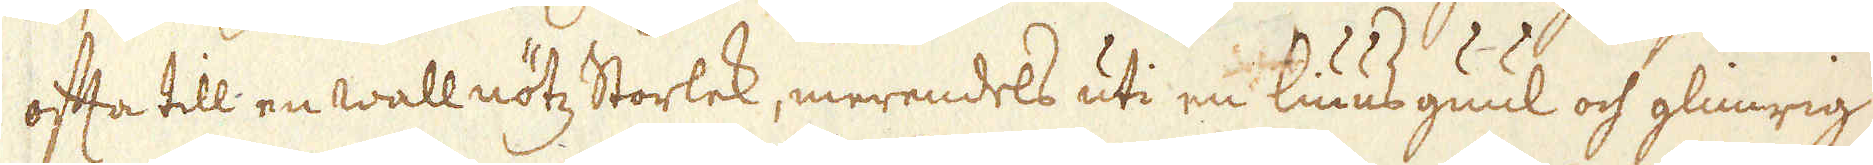ofta till en wallnötz Storlek, merendels uti en liuus guul och glimrig
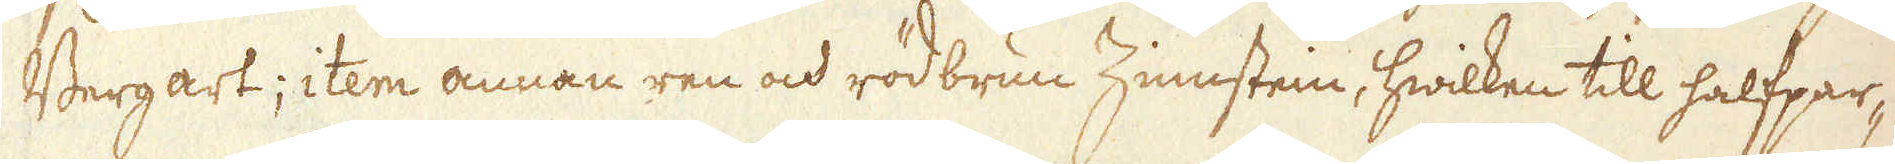Bergart; item annan ren och rödbrun Zinnstein, hwilken till halfpar-
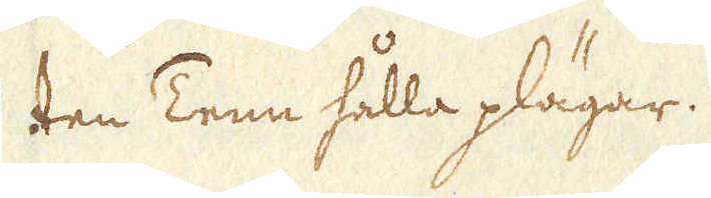ten Tenn hålla plägar.
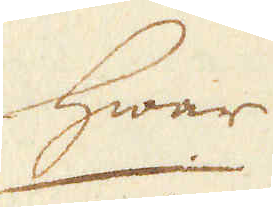Hwar
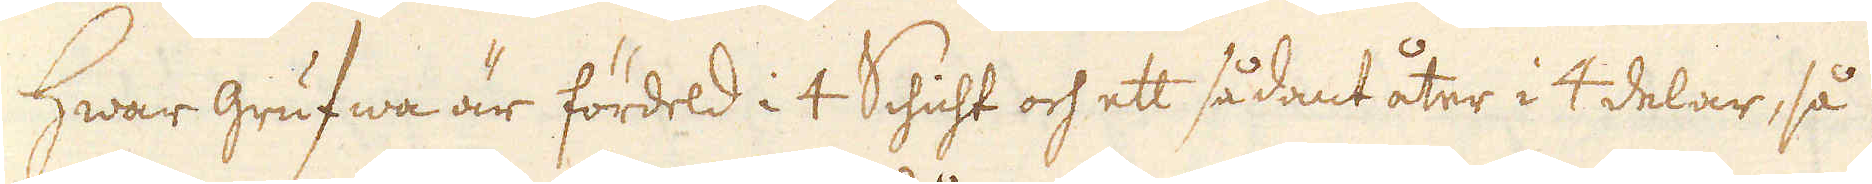Hwar grufwa är fördeld i 4 Schicht och ett sådant åter i 4 delar, så
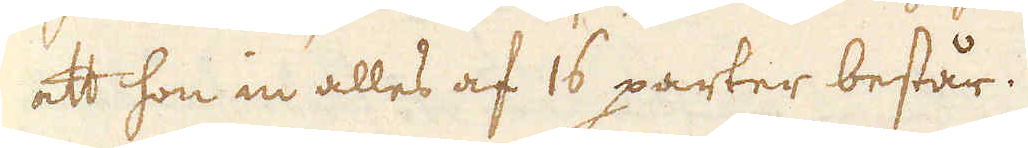att hon in alles af 16 parter består.
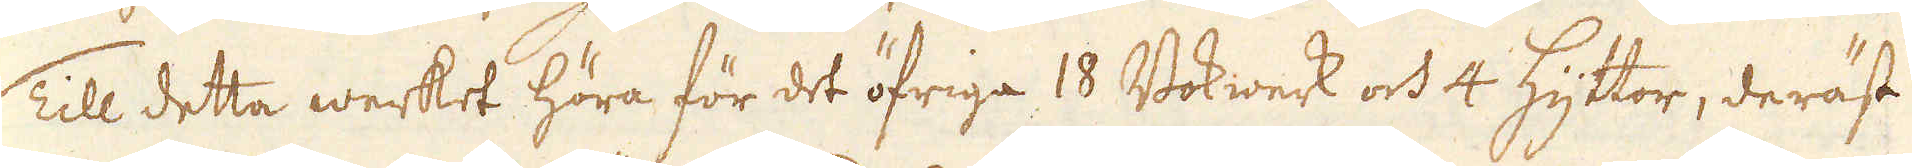Till detta werket höra för det öfriga 18 Bokwerk och 4 Hyttor, deräst
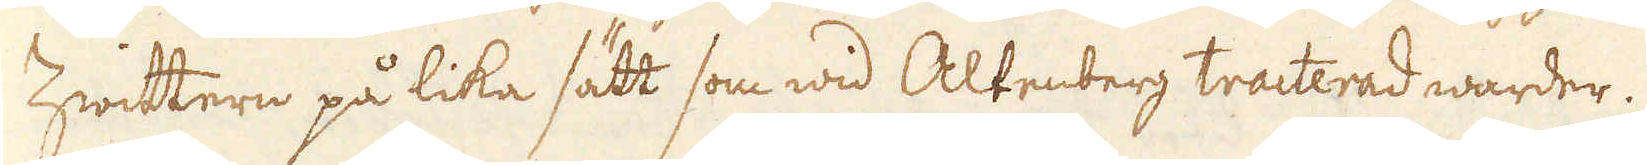Zwittern på lika sätt som wid Altenberg tracterad warder.
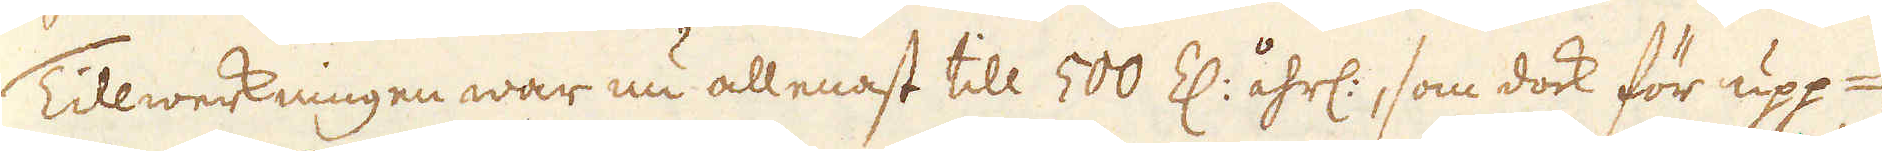Tillwerkningen war nu allenast till 500 Z: åhrl:, som dock för upp-
